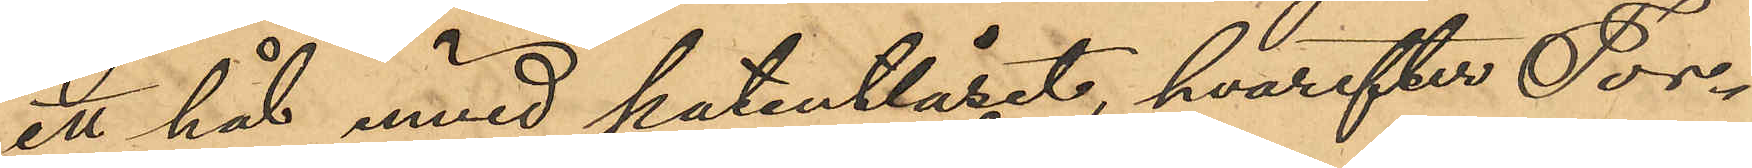ett hål invid patentlåset, hvarefter Tor¬
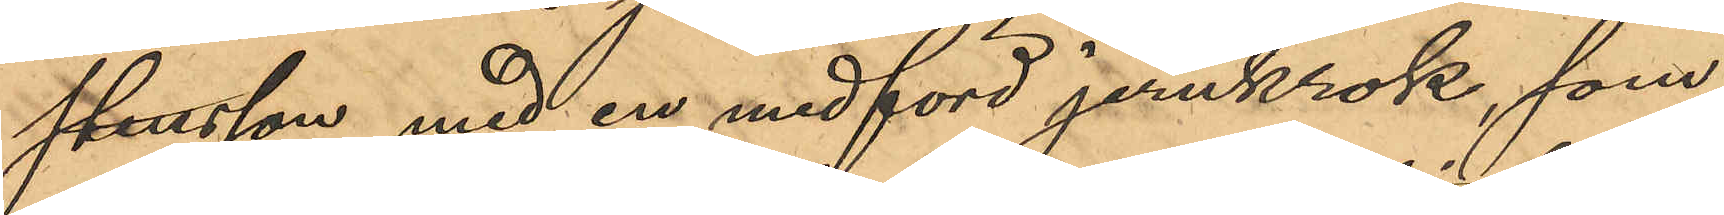stensson med en medförd jernkrok, som
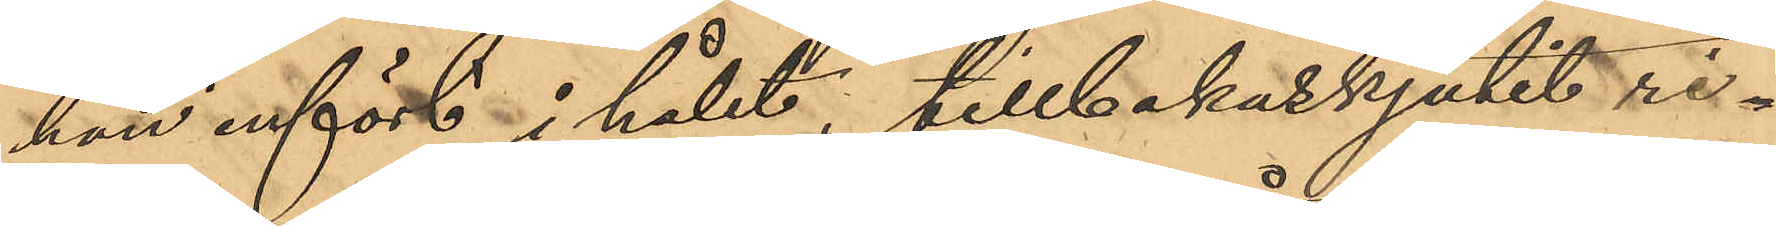han infört i hålet, tillbakaskjutit ri¬
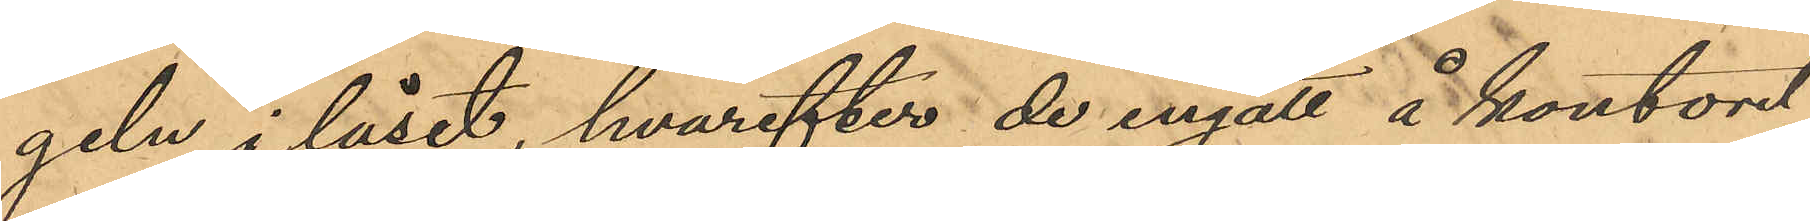geln i låset, hvarefter de ingått å kontoret,
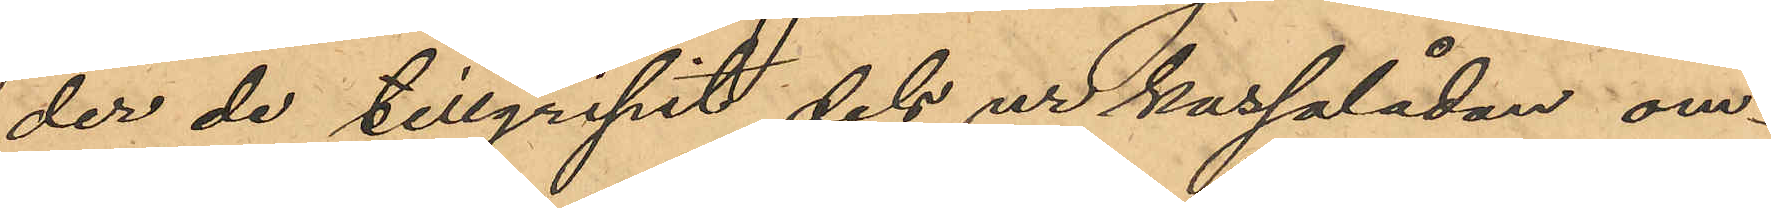der de tillgripit dels ur kassalådan om¬
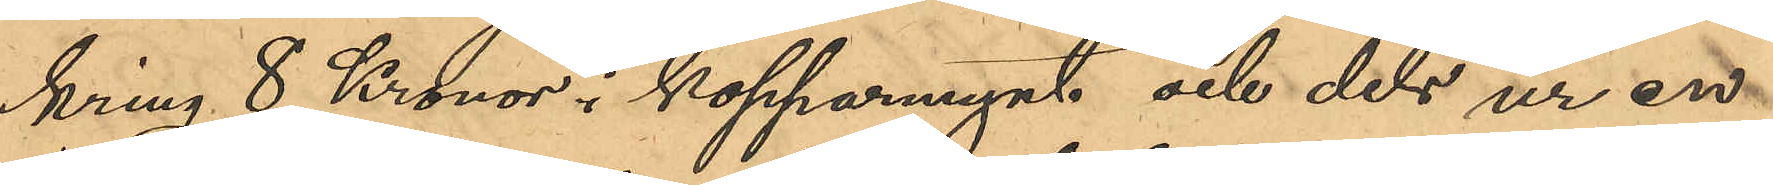kring 8 Kronor i kopparmynt och dels ur en
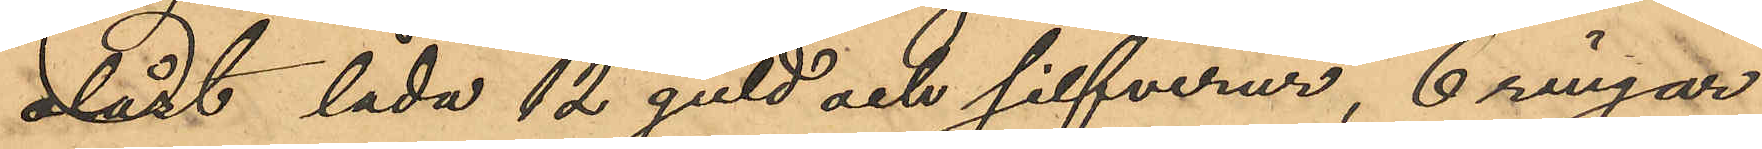olåst låda 12 guld och silfverur, 6 ringar,
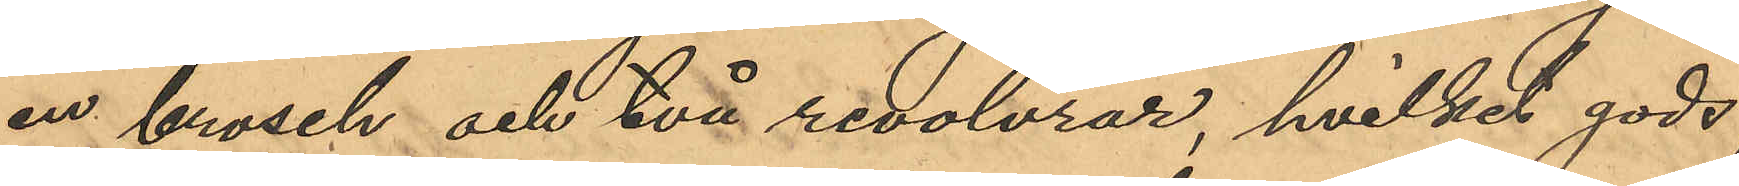en brosch och två revolvrar, hvilket gods,
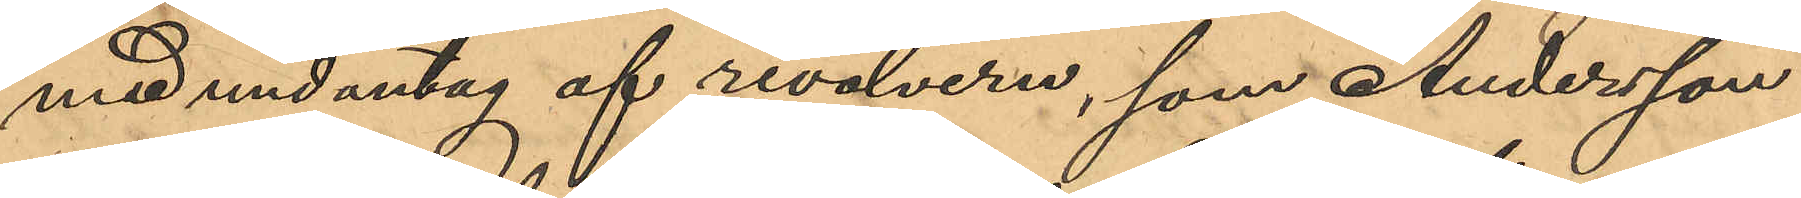med undantag af revolvern, som Andersson
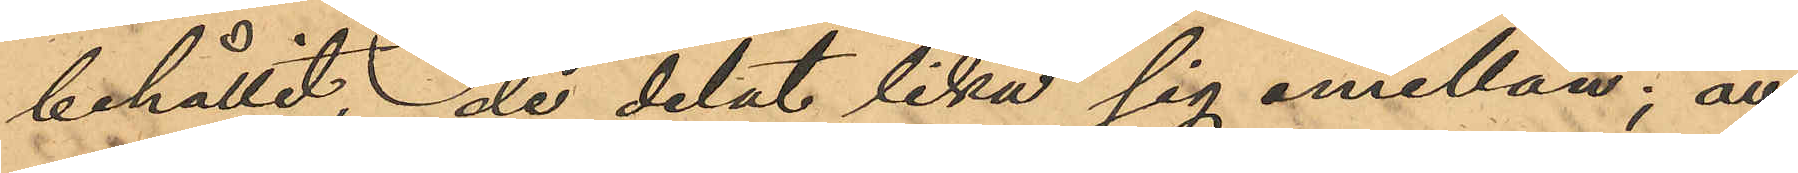behållit, de delat lika sig emellan; att
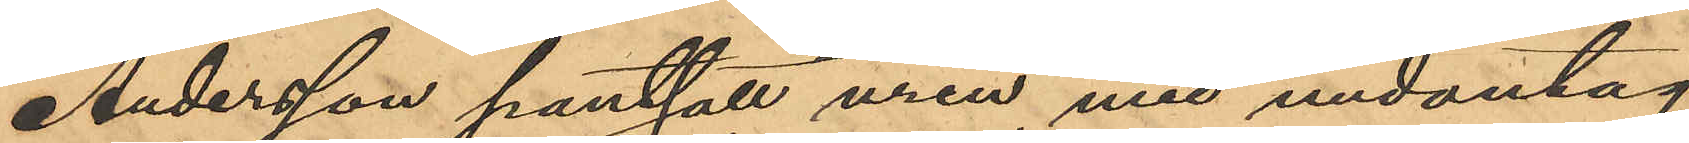Andersson pantsatt uren med undantag
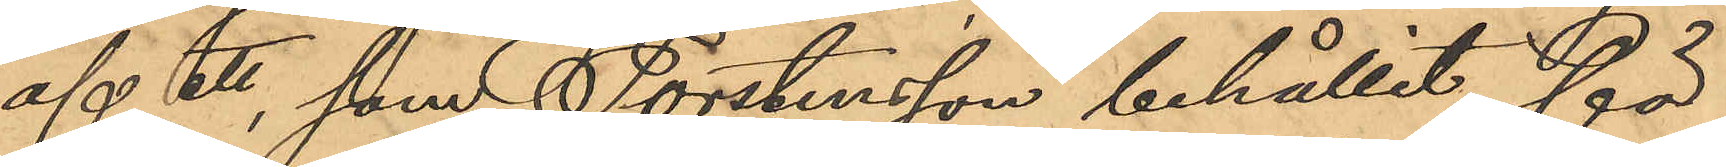af ett, som Torstensson behållit för
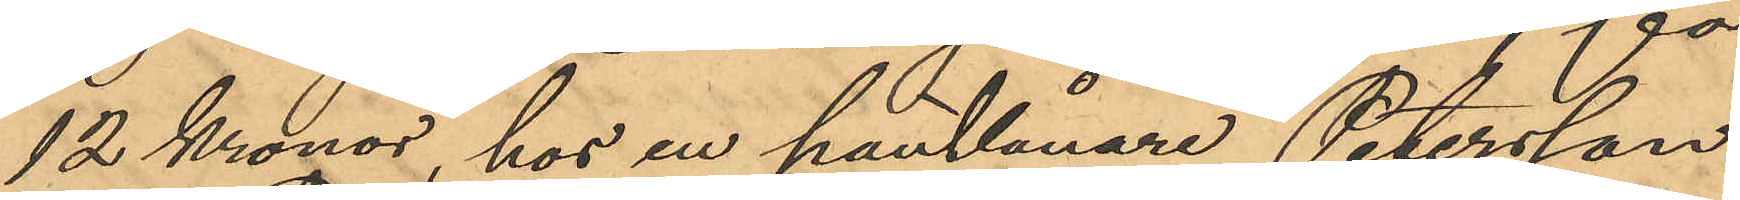12 Kronor, hos en pantlånare Petersson
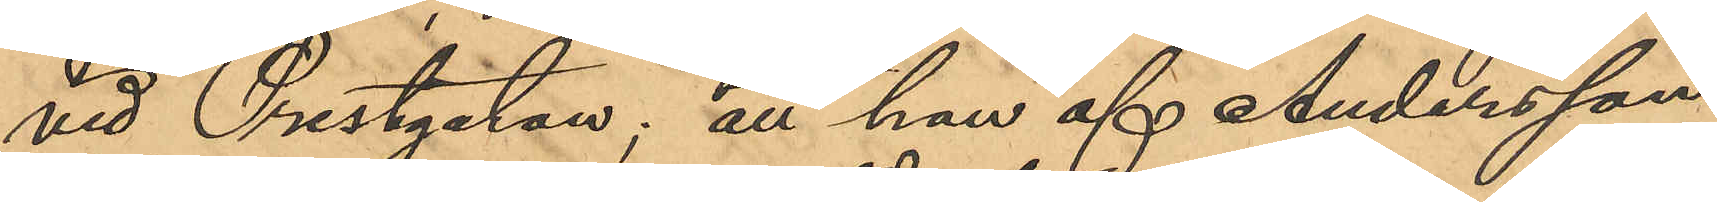vid Prestgatan; att han af Andersson
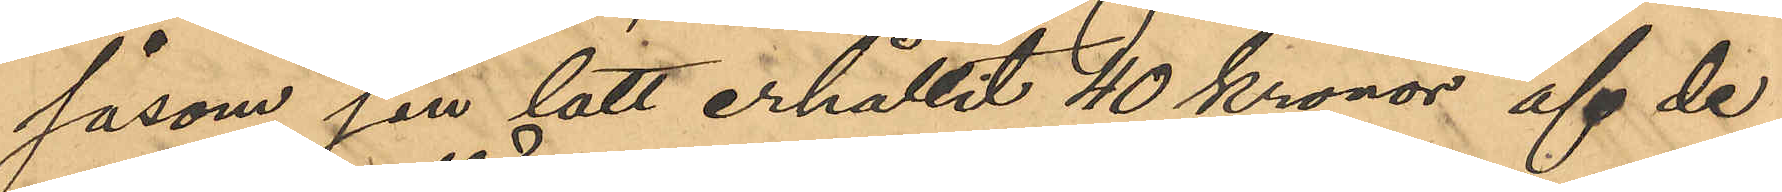såsom sin lott erhållit 40 kronor af de
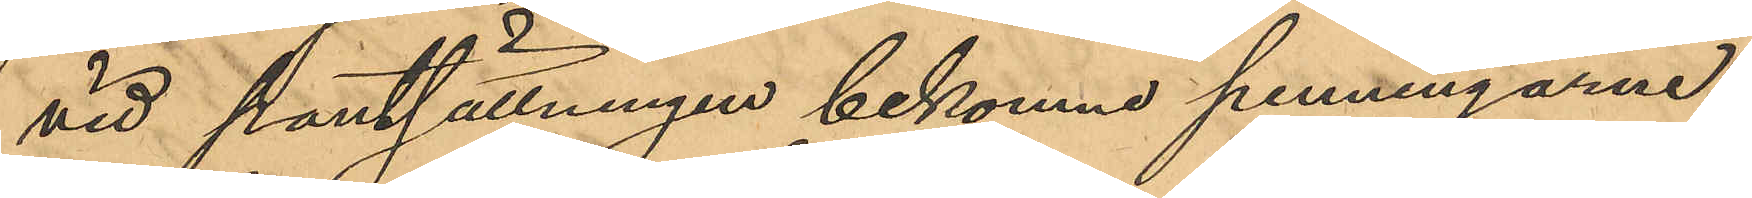vid pantsättningen bekomne penningarne;
